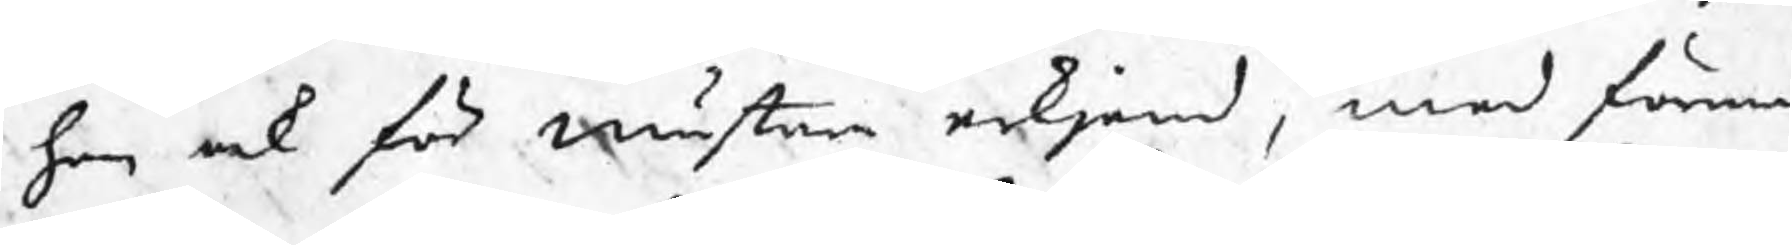han ock för mästare erkjend, med förma¬
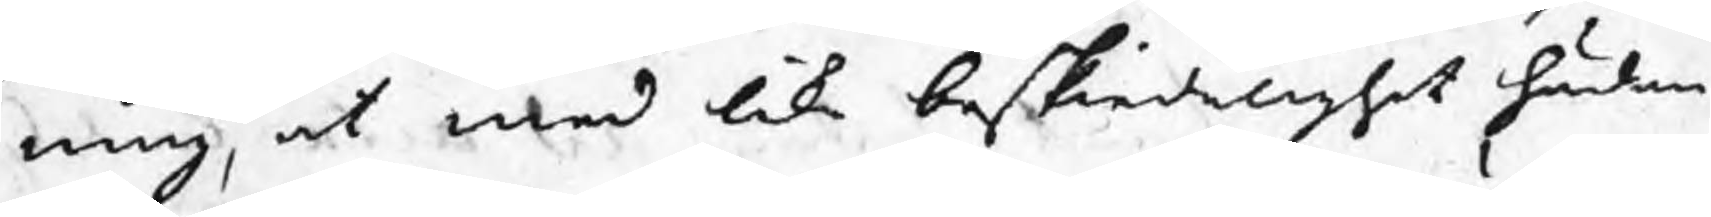ning, at med lika beskiedelighet hädan¬
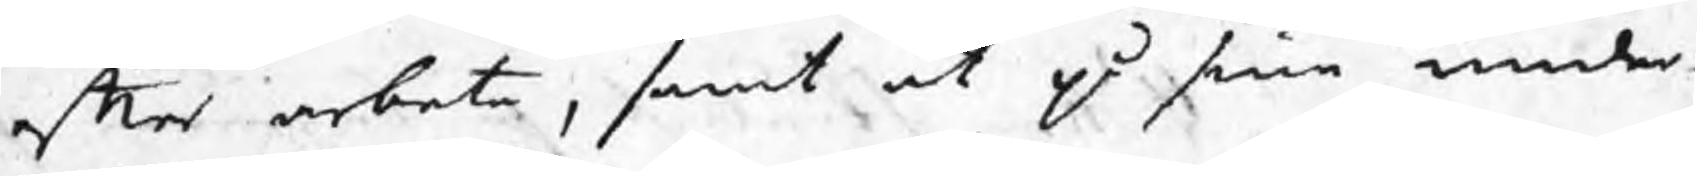efter arbeta, samt at på sine under¬
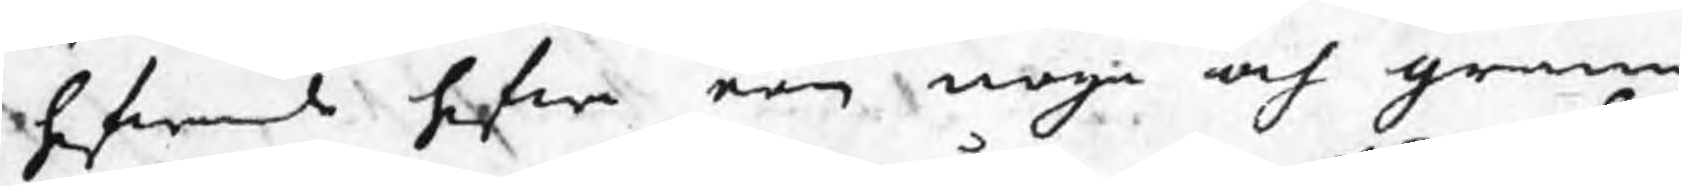hafwande hafwa een noga och grann
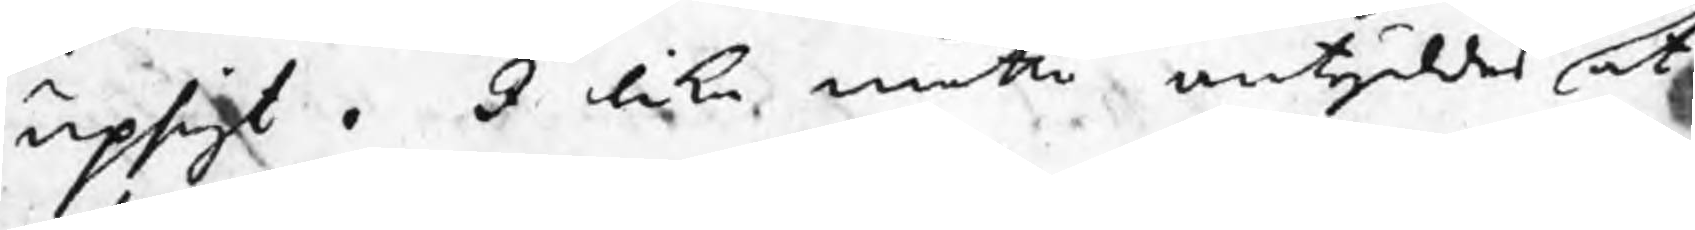upsigt. I lika måtto antyddes at
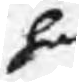han
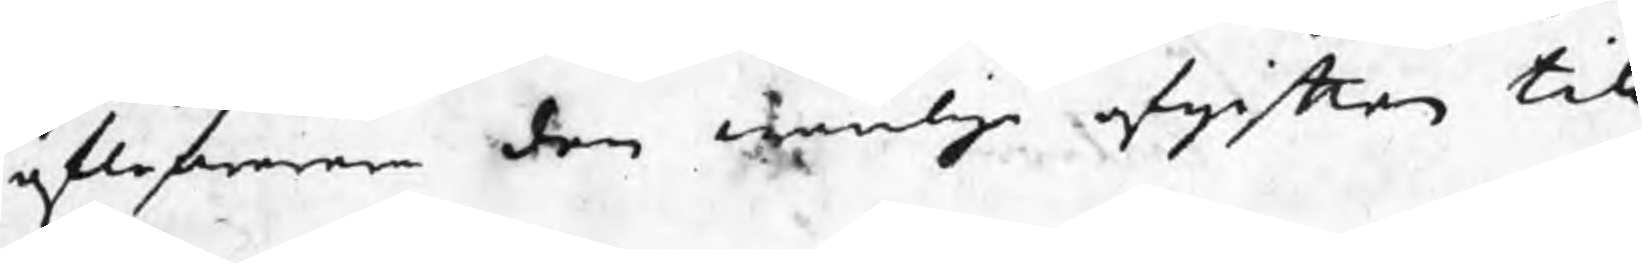aflefwerera den wanliga afgiften till
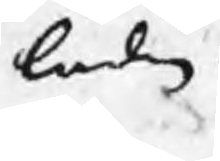lådan.
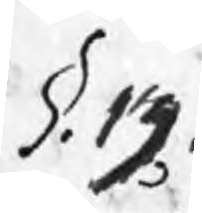§. 13.
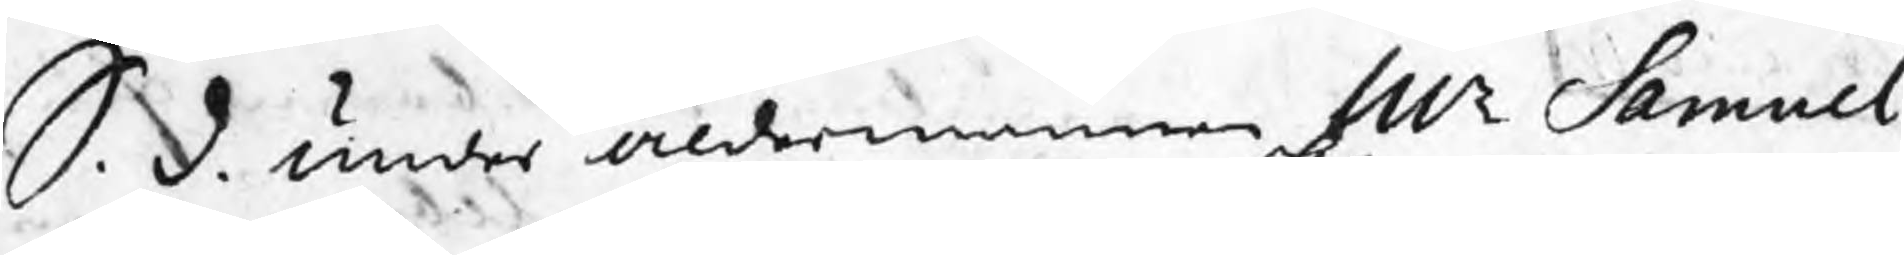S. d. under åldermannen Mr Samuel
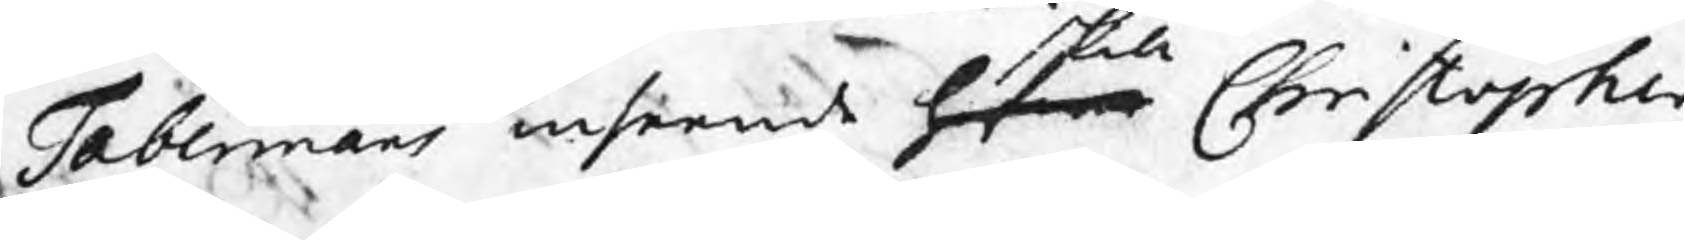Tabermans inseende hafwa Christopher
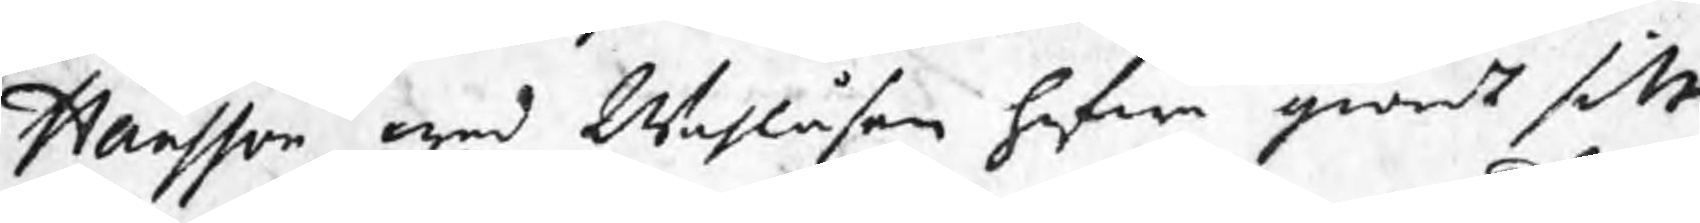Hansson wed Wahlåsen hafwa giordt sitt
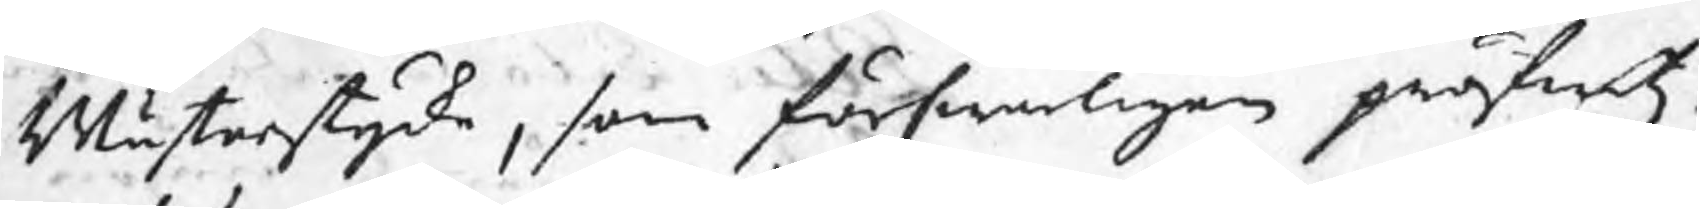Mästarstycke, som förswarligen pröfwats.
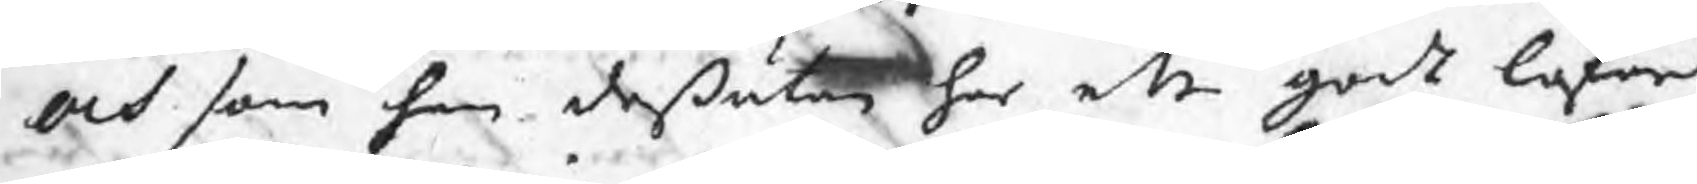och som han deßutan har ett godt loford
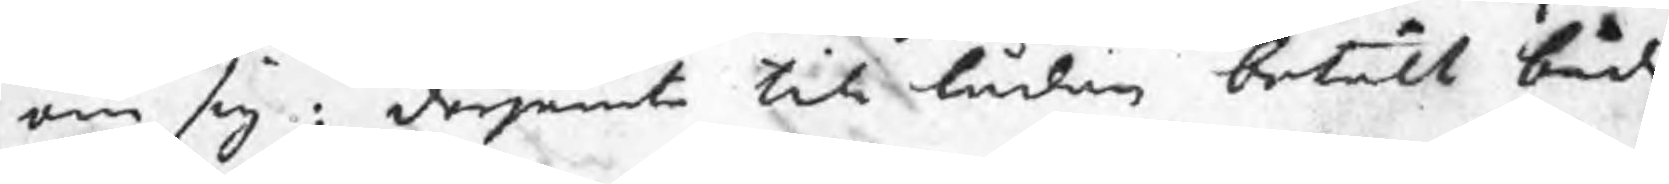om sig : derjemte till lådan betalt både
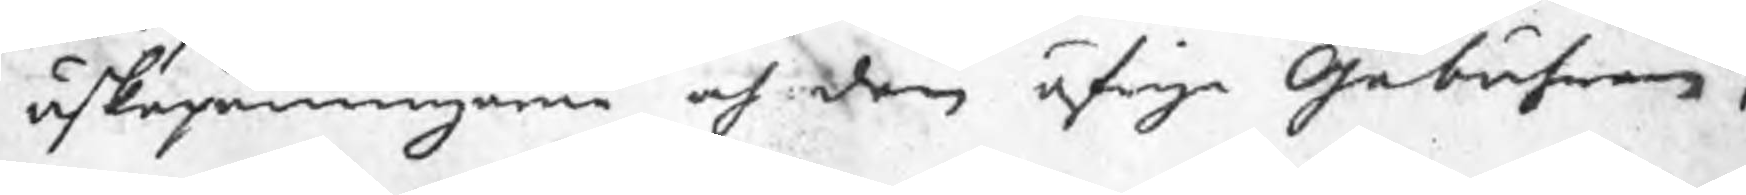äskepenningarne och den öfrige Gebuhren;
